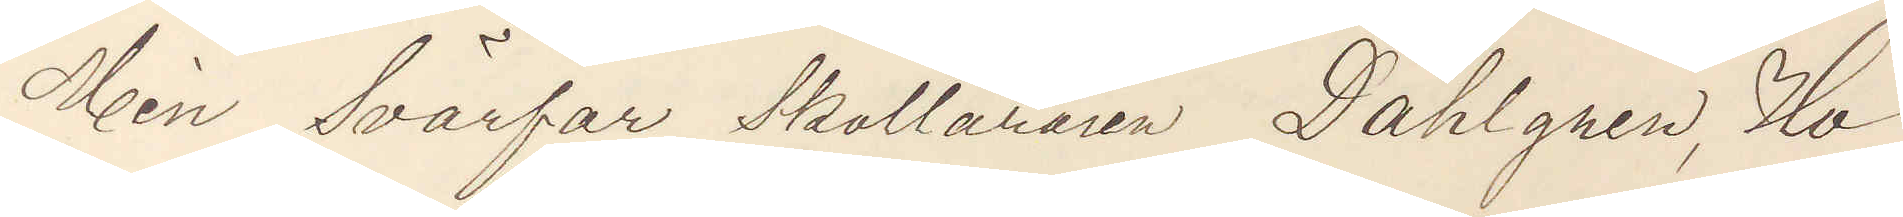Min Svärfar Skolläraren Dahlgren, Ho¬
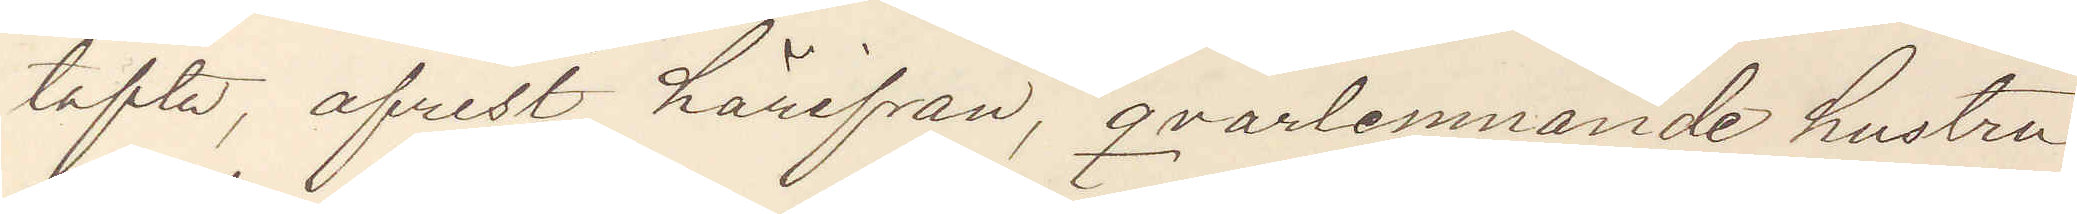tofta, afreste härifrån, qvarlemnande hustru
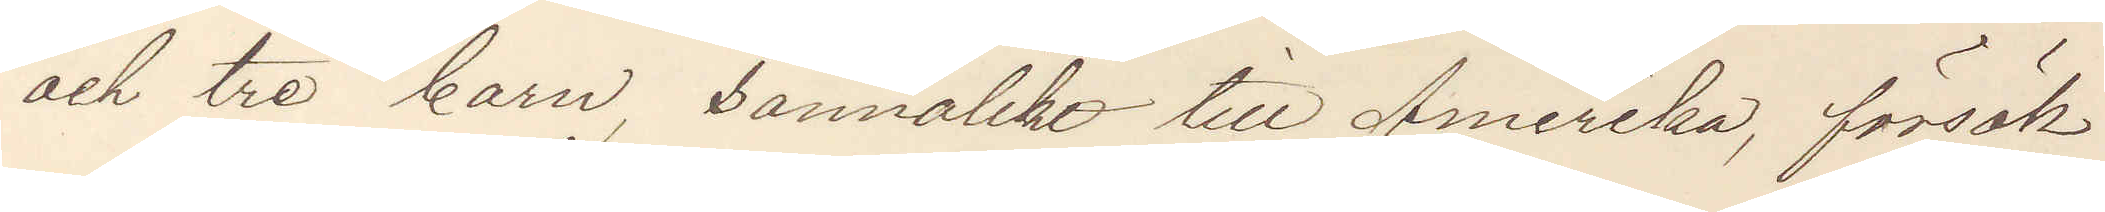och tre barn, sannolikt till Amerika, försök
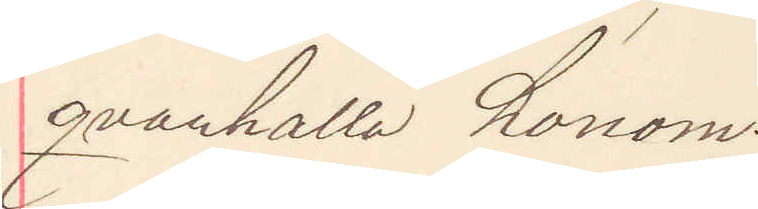qvarhålla honom.
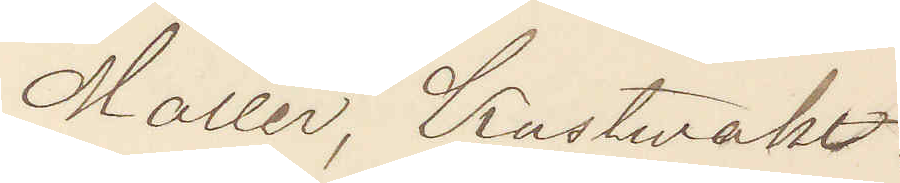Möller, Kustwakt.
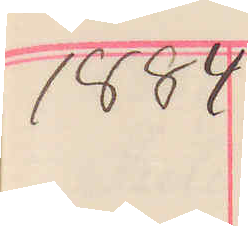1884
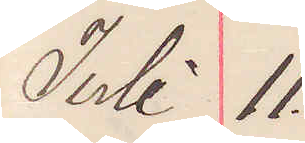Juli 11.
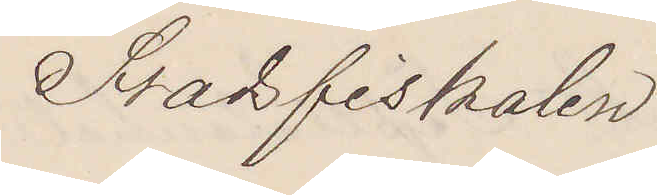Stadsfiskalen
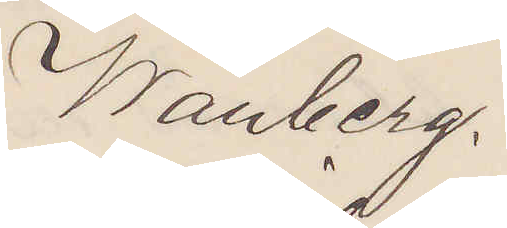Warberg.
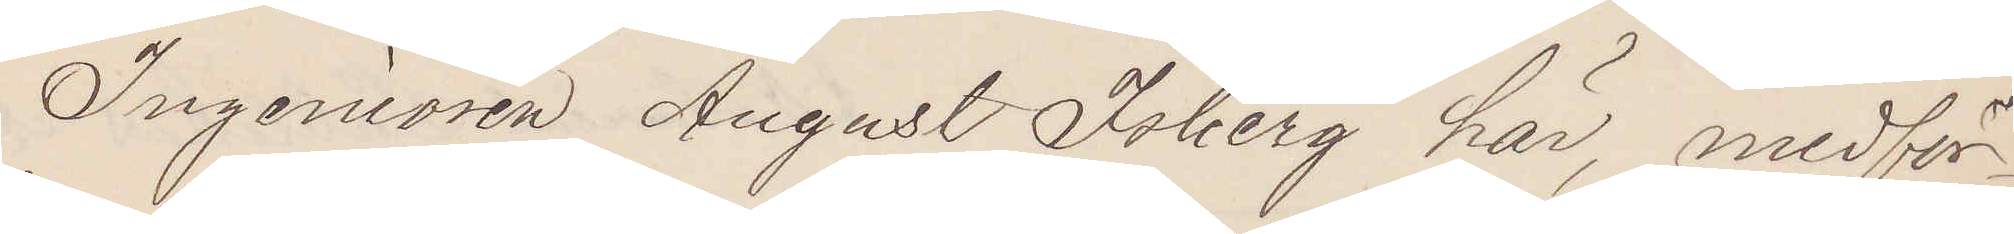Ingeniören August Isberg här, medför¬
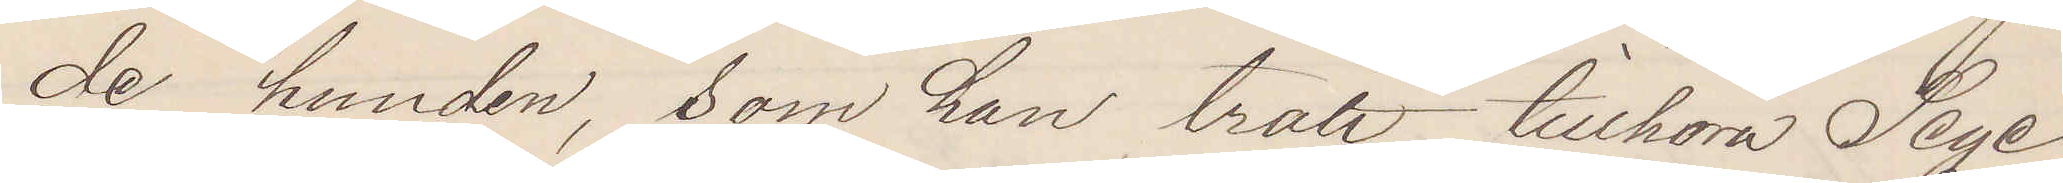de hunden, som han trott tillhöra Sege¬
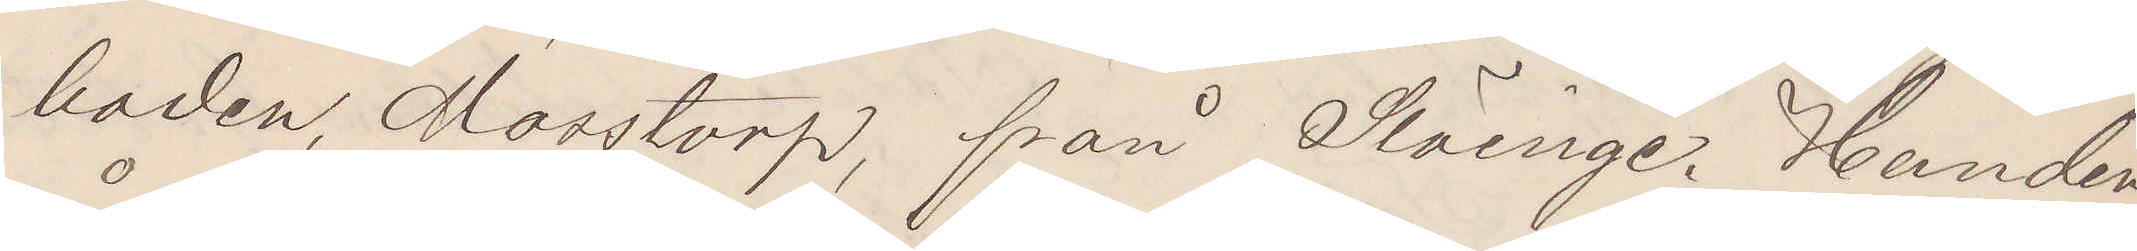baden, Mosstorp, från Slöinge. Hunden
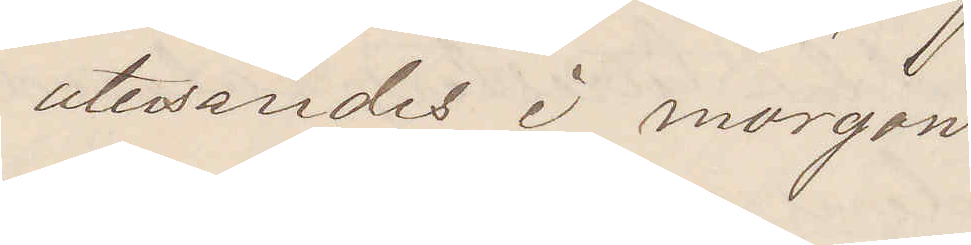återsändes i morgon.
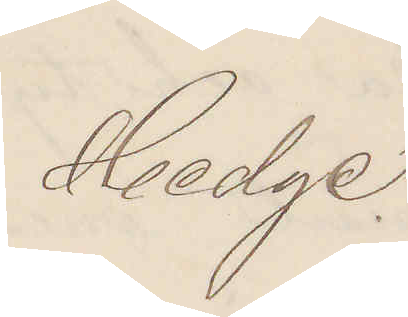Hedge.
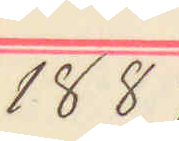1884
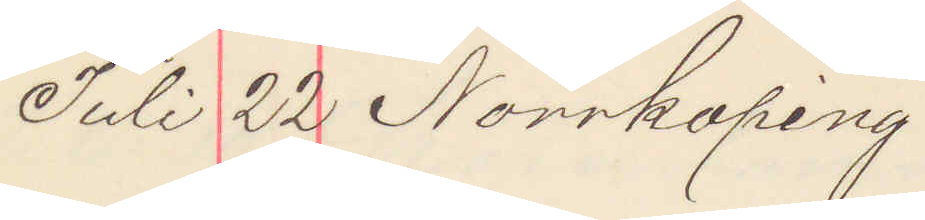Juli 22 Norrköping
